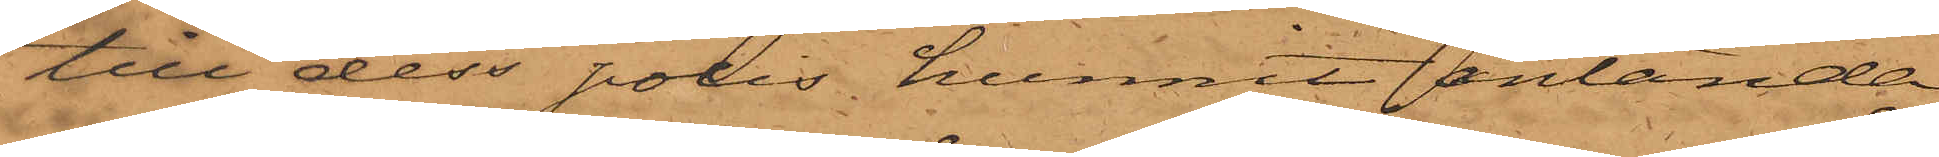till dess polis hunnit anlända.
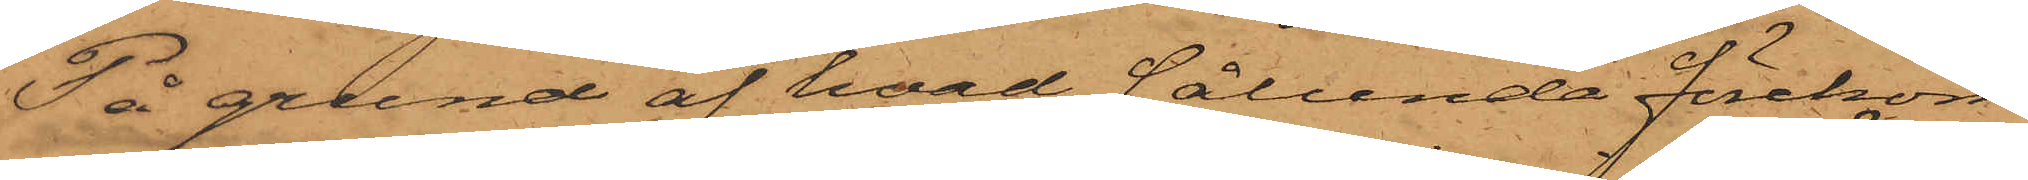På grund af hvad sålunda förekom¬
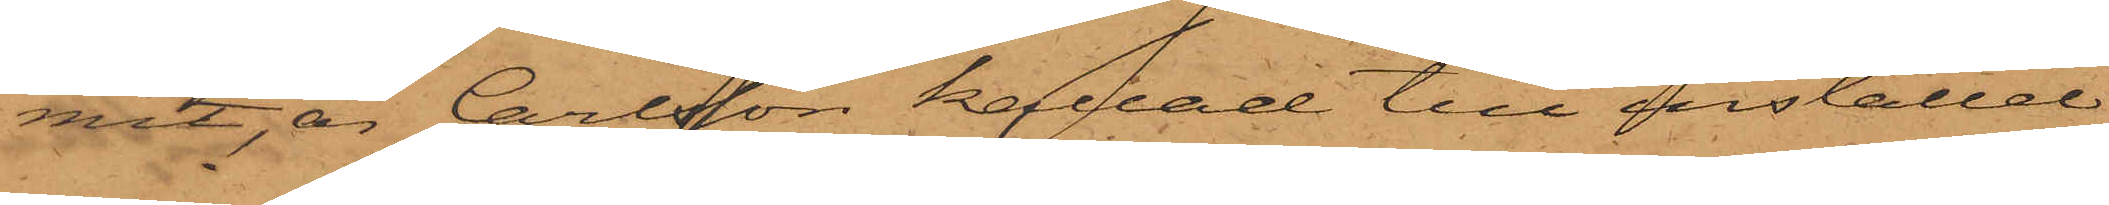mit, är Carlsson kallad till inställel¬
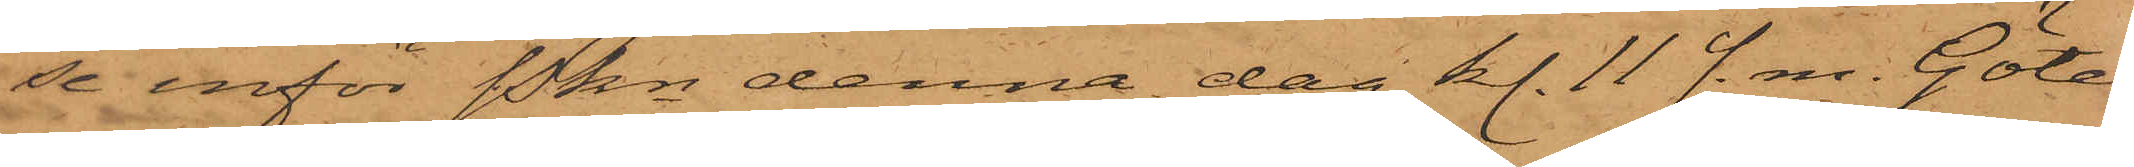se inför Pkn denna dag kl. 11 f. m. Göte¬
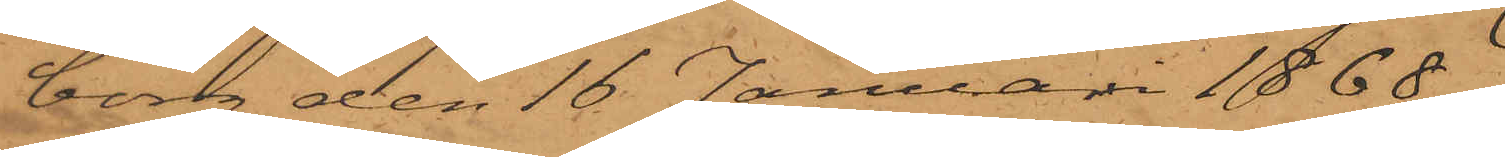borg den 16 Januari 1868.
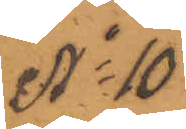No 10
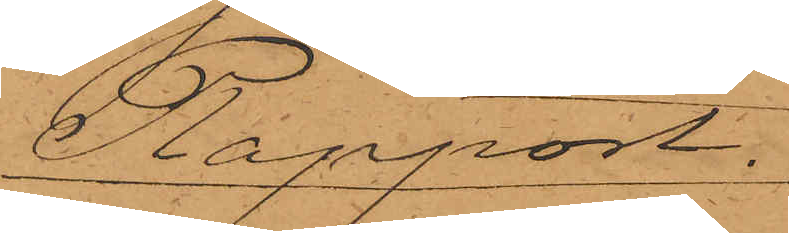Rapport.
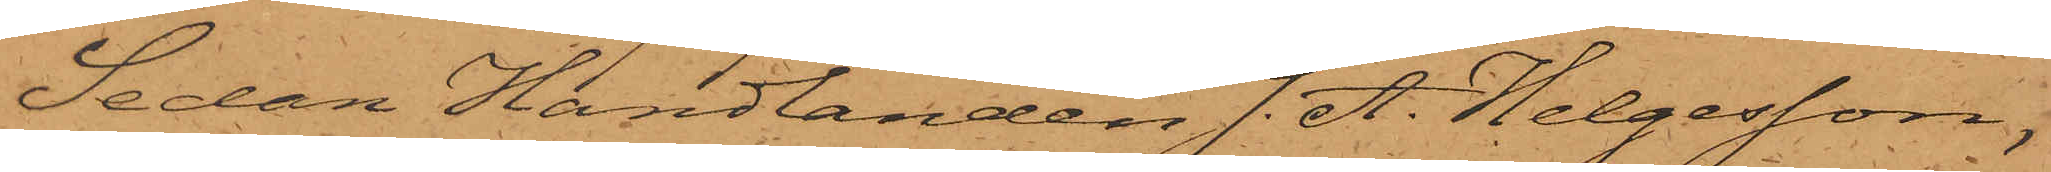Sedan Handlanden J. A. Helgesson,
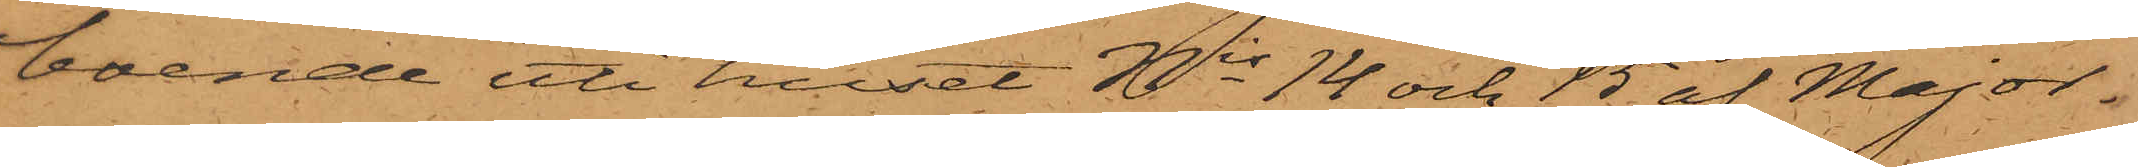boende uti huset Nis 14 och 15 af Major¬
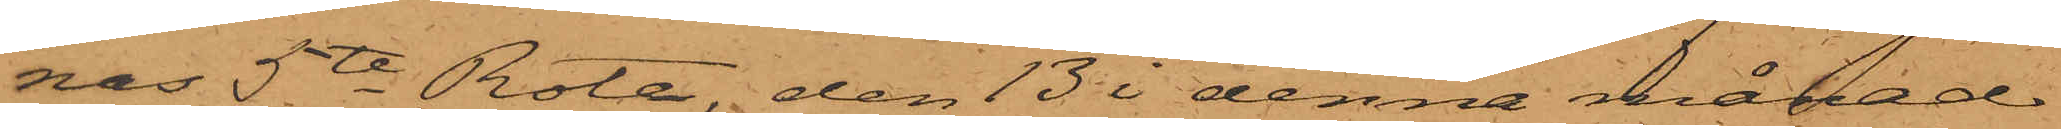nas 5te Rote, den 13 i denna månad
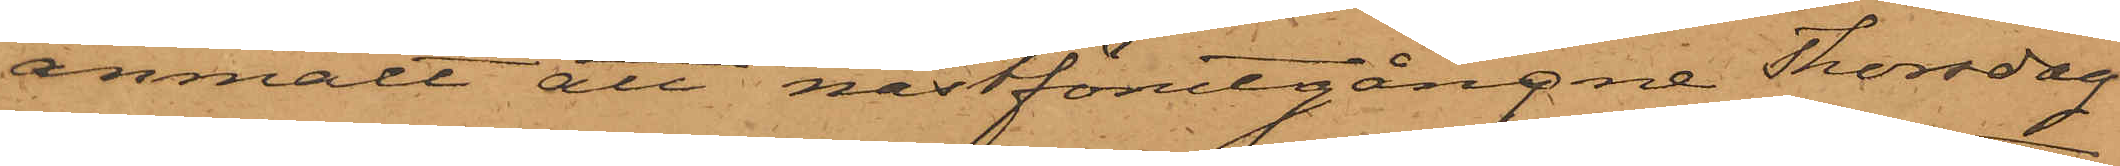anmält att nästförutgångne Thorsdag
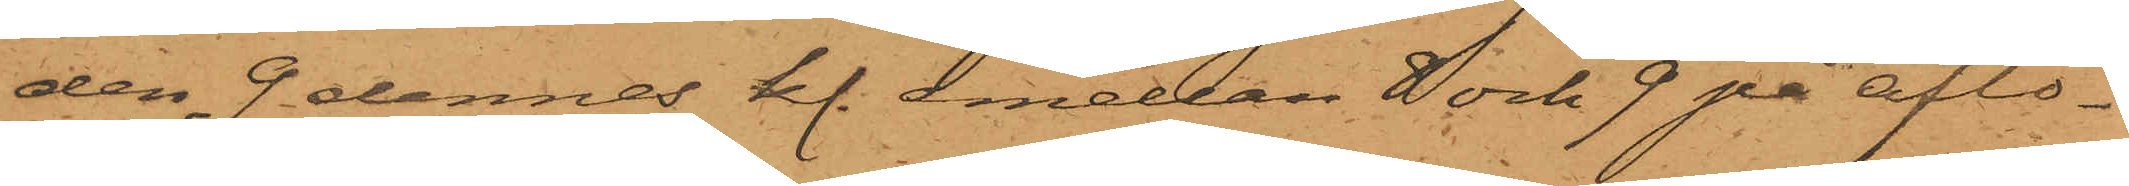den 9 dennes kl. emellan 8 och 9 på afto¬
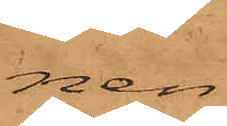nen
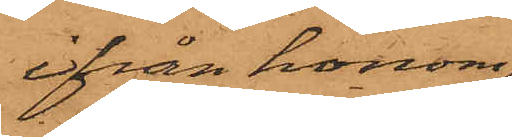ifrån honom
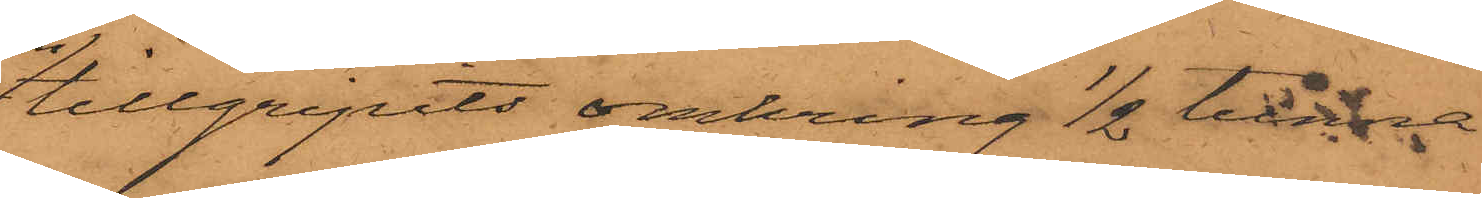tillgripits omkring 1/2 tunna
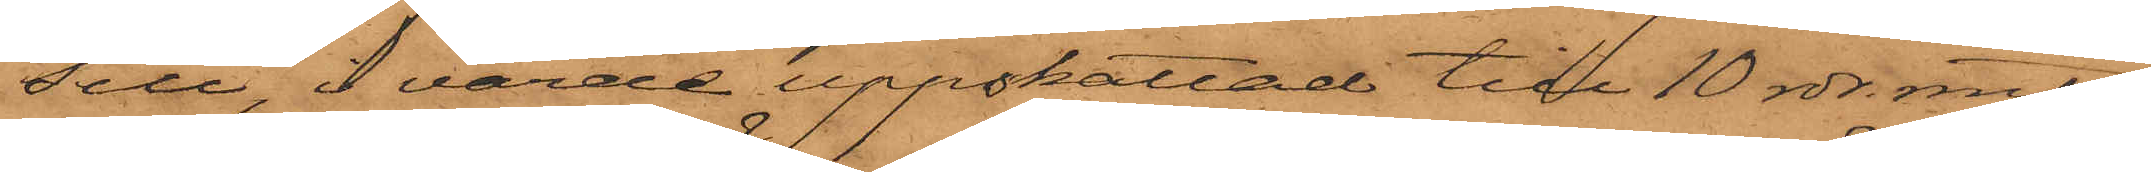sill, i värde uppskattad till 10 rdr. rmt,
